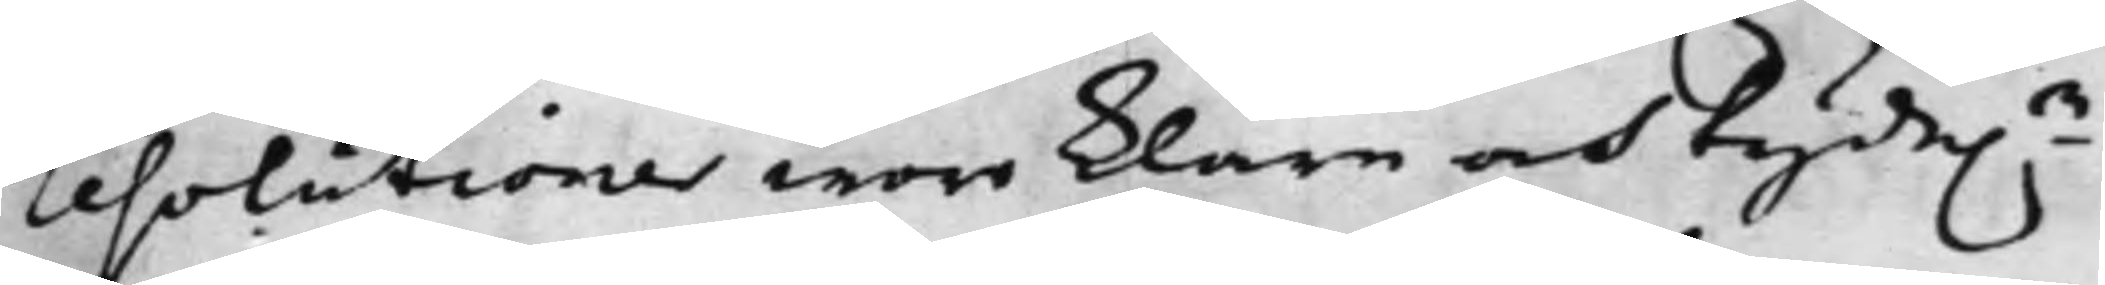resolutioner woro klare och tydel.e
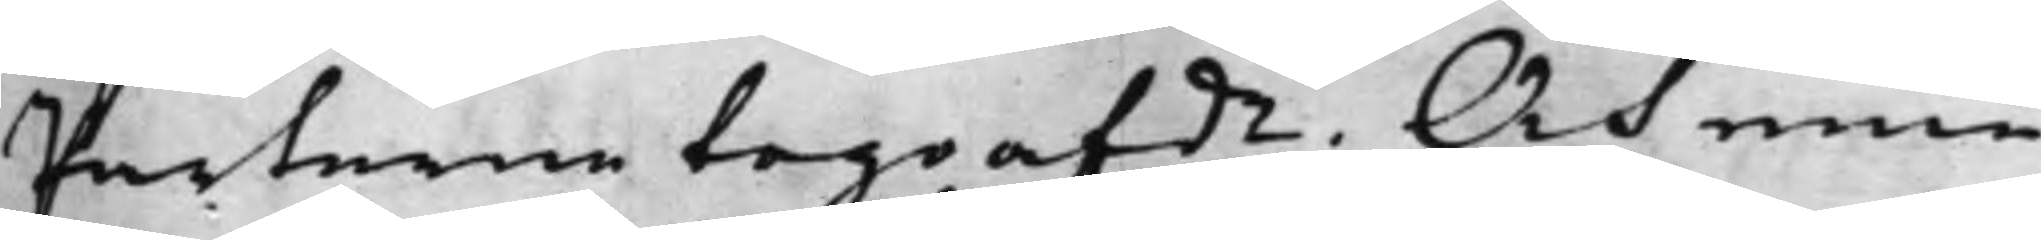Parterne togo afde. Och eme¬
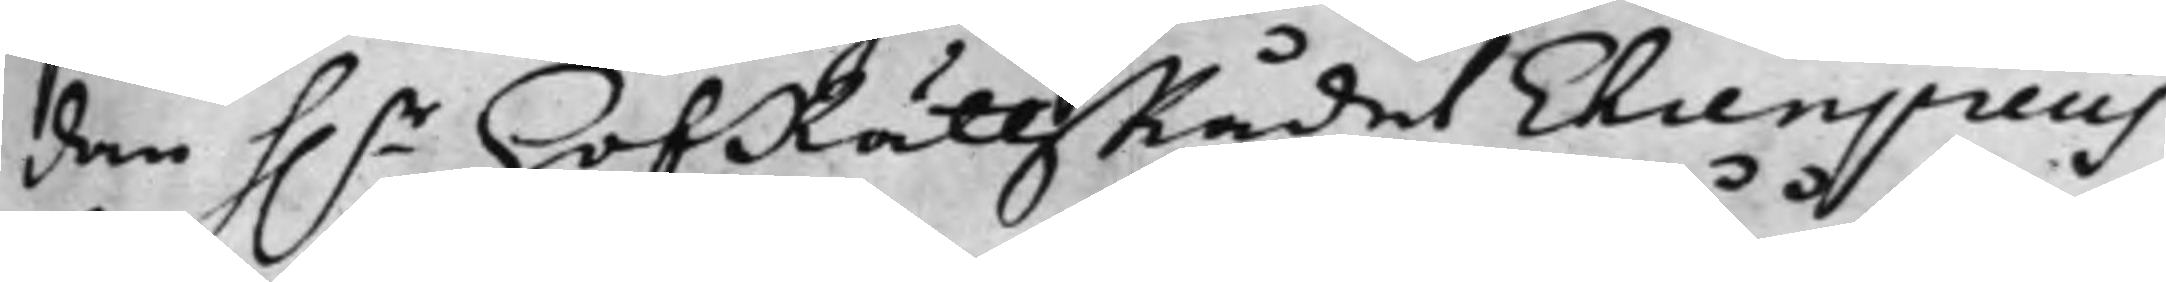dan h.r HofRättzRådet Ehrenpreus
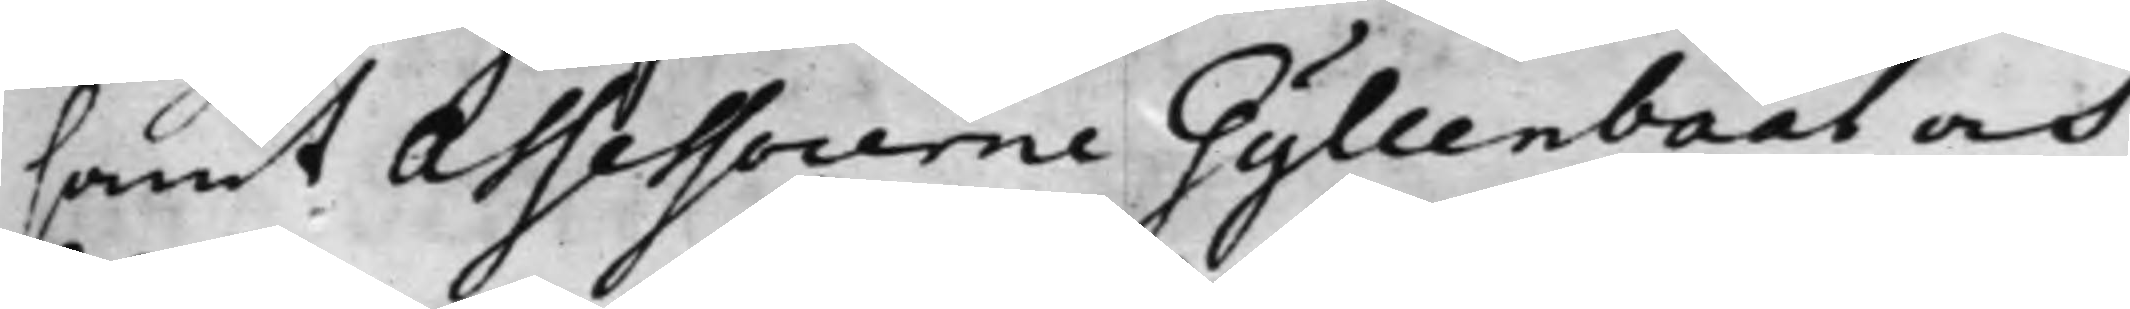samt Assessorerne Gyllenbååt och
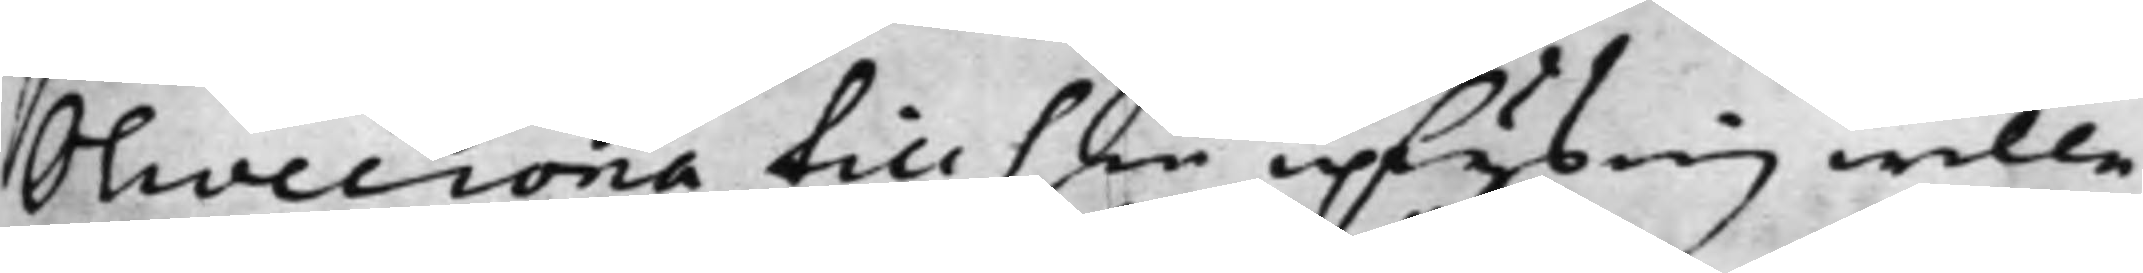Olivecrona till sin uplysnig wille
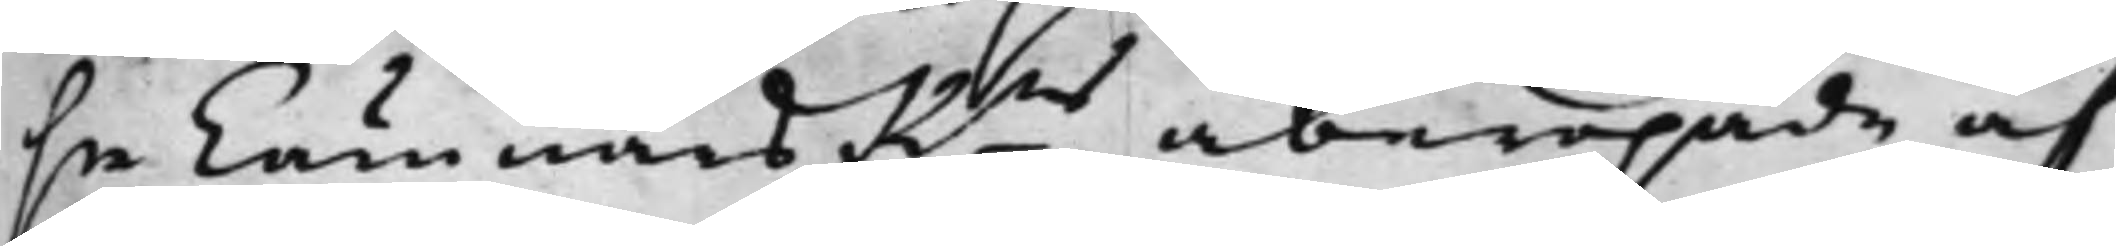se CämnärsRns åberopade af
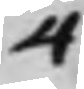4
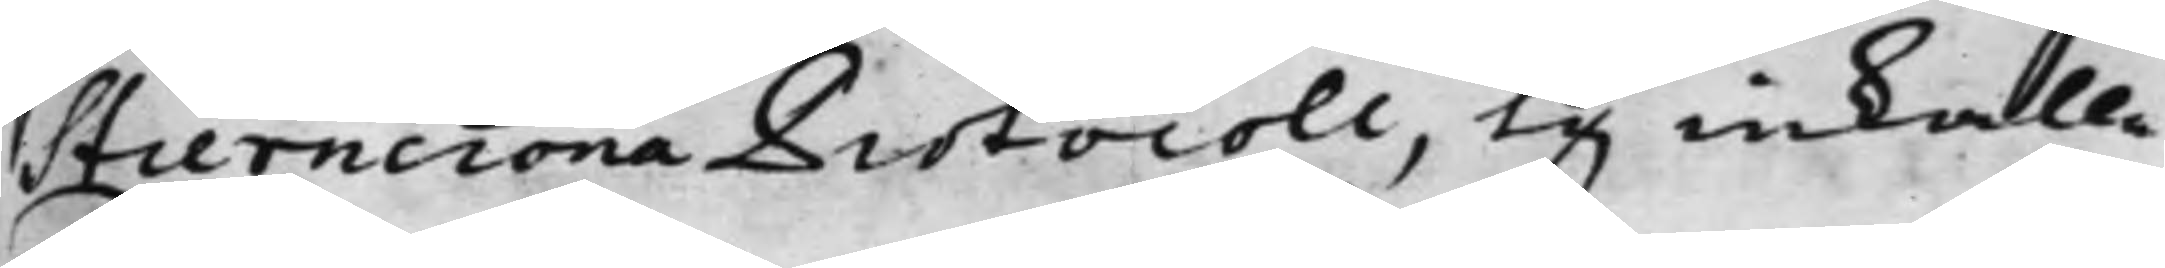Stierncrona Protocoll, ty inkalla¬
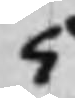5
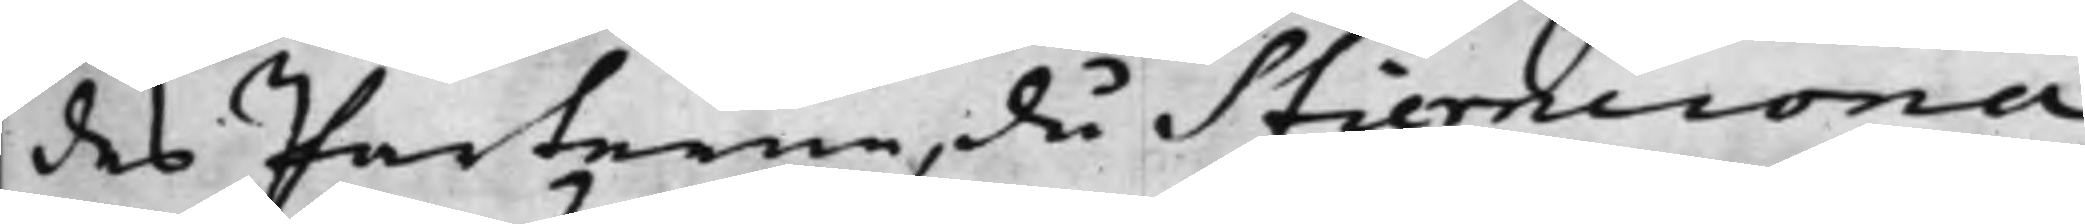des Parterne, då Stierncrona
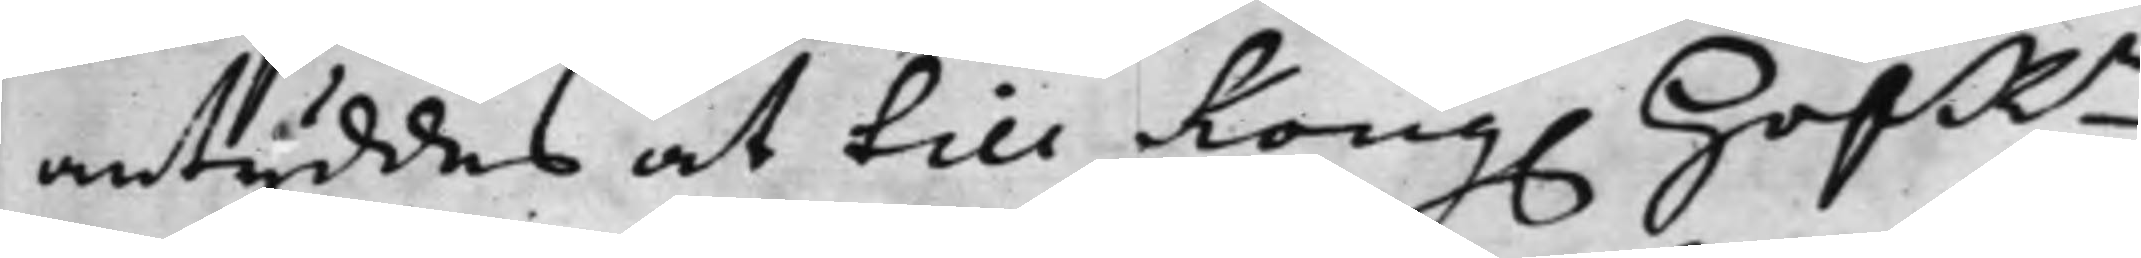antyddes at till Kong. HofRn
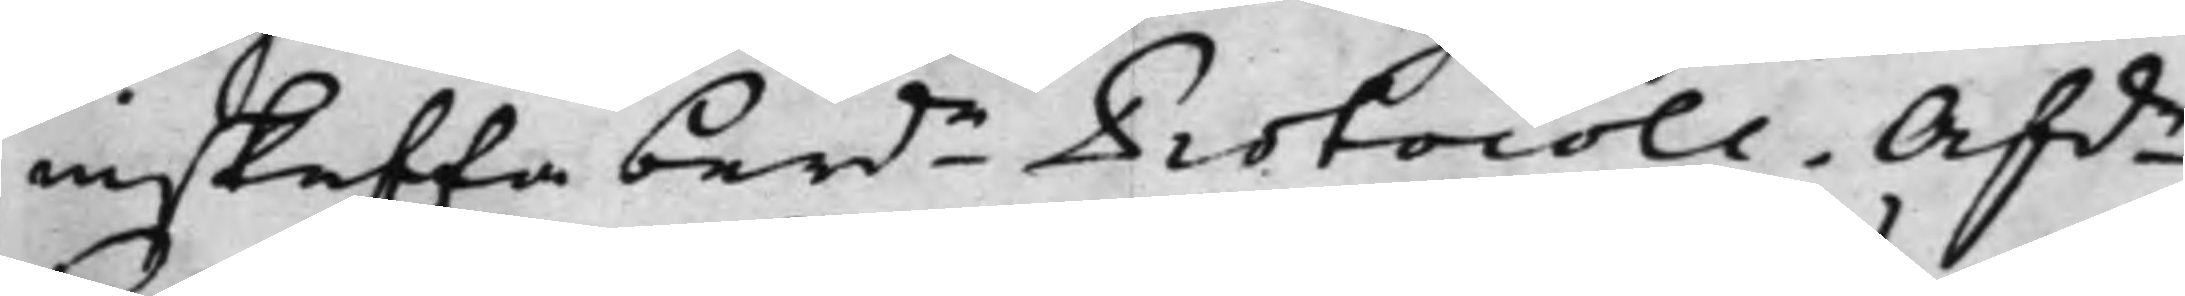inskaffa berde Protocoll. Afde
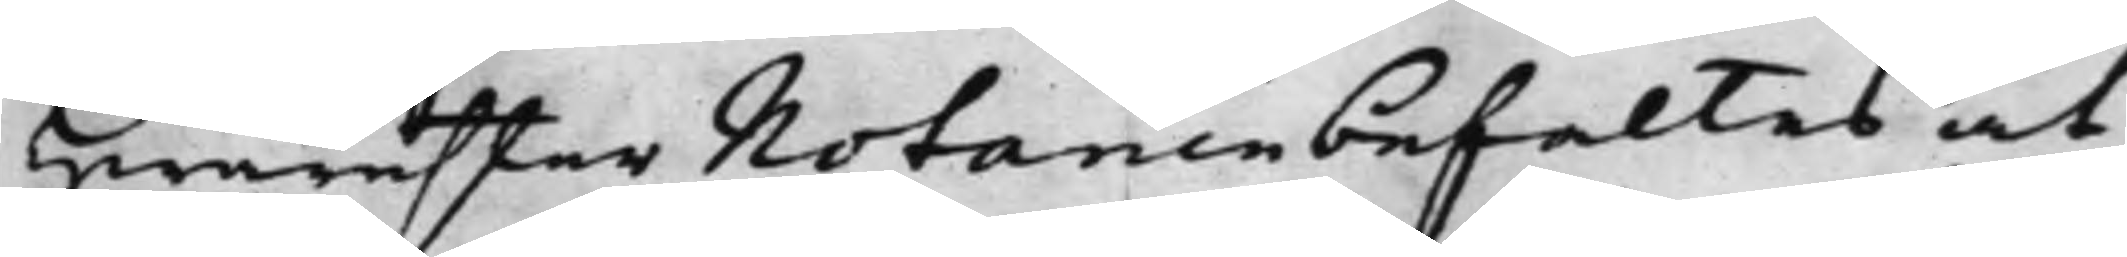Hwarefter Notarien befaltes at
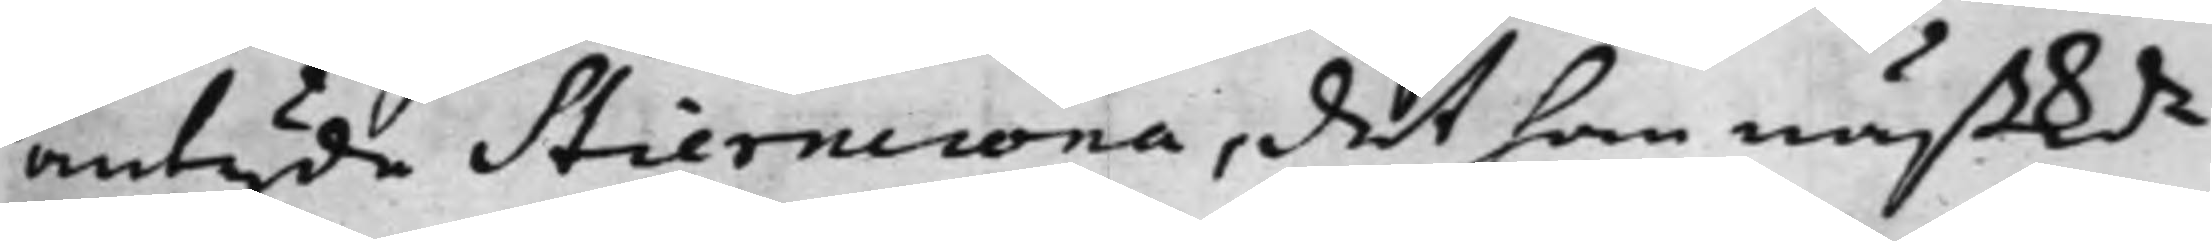antyde Stierncrona, det han nästkde
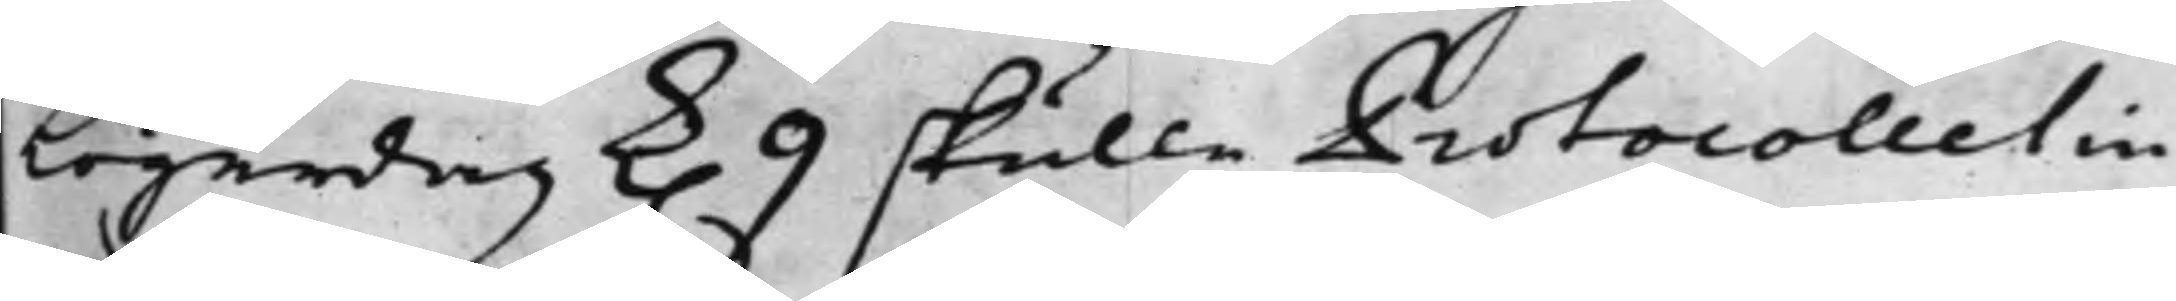Lögerdag k. 9 skulle Protocollet in
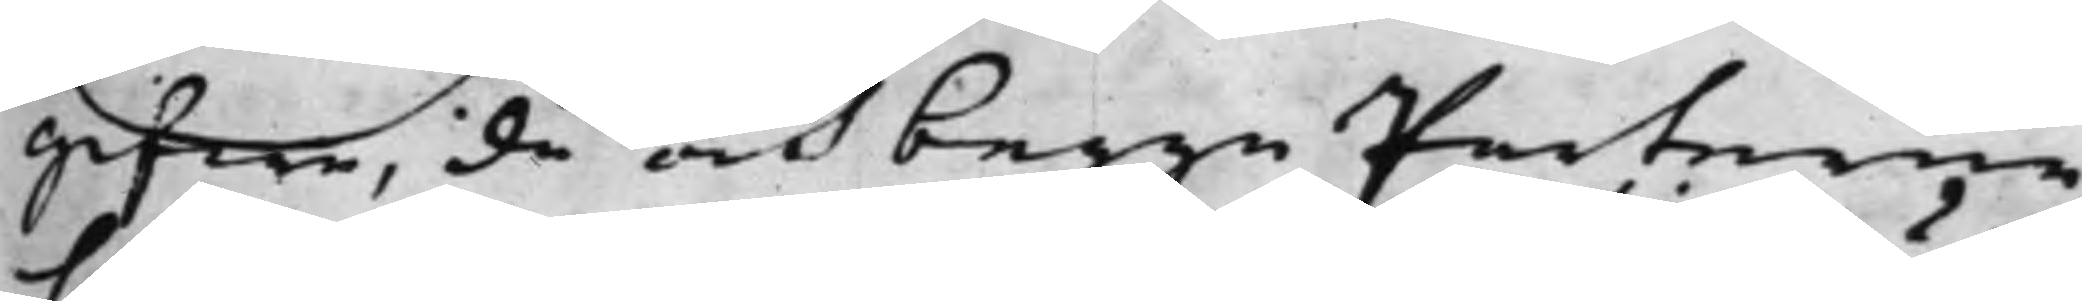gifwa, då och begge Parterne
